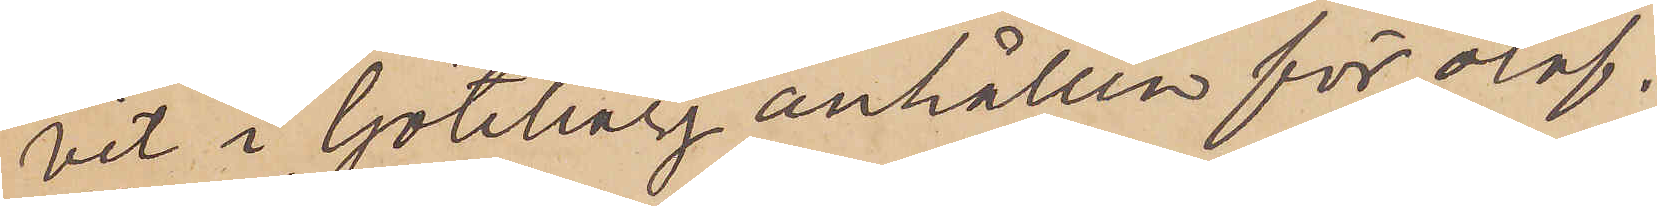vit i Göteborg anhållen för olof¬
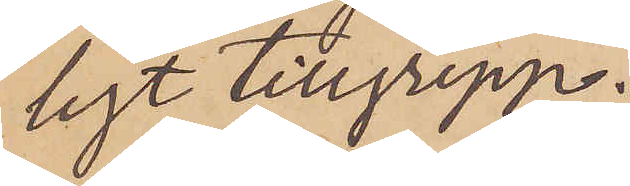ligt tillgrepp.
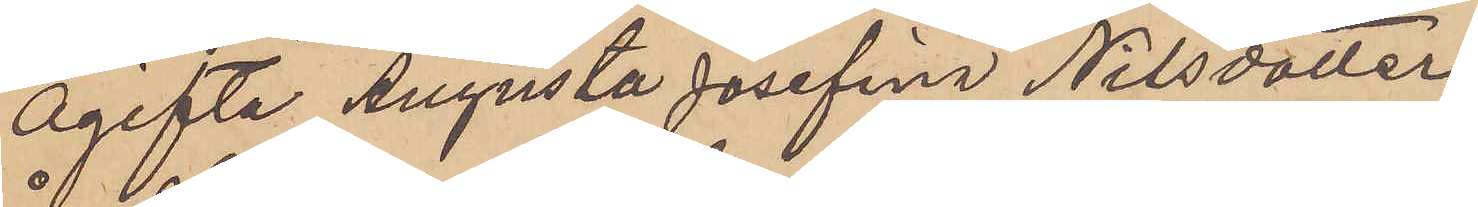ogifta Augusta Josefina Nilsdotter
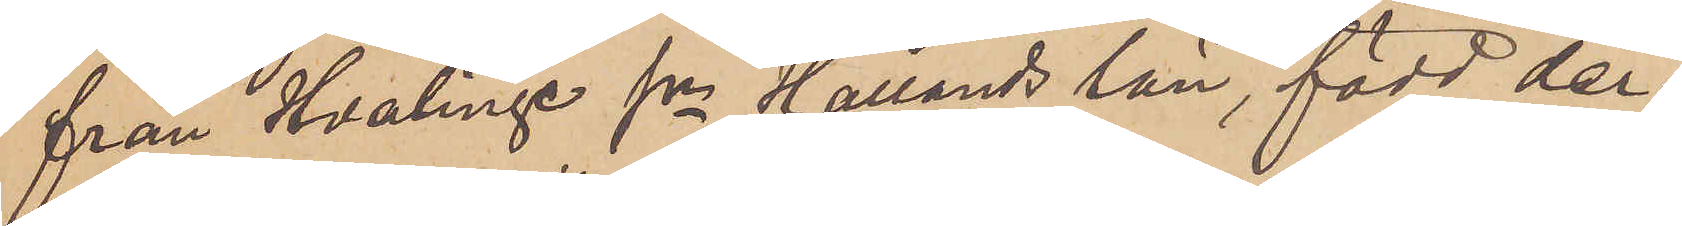från Hvalinge sn Hallands län, född der¬
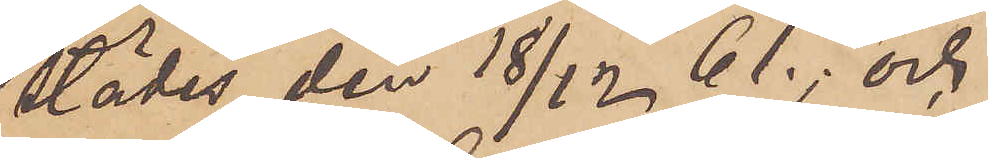städes den 18/12; och
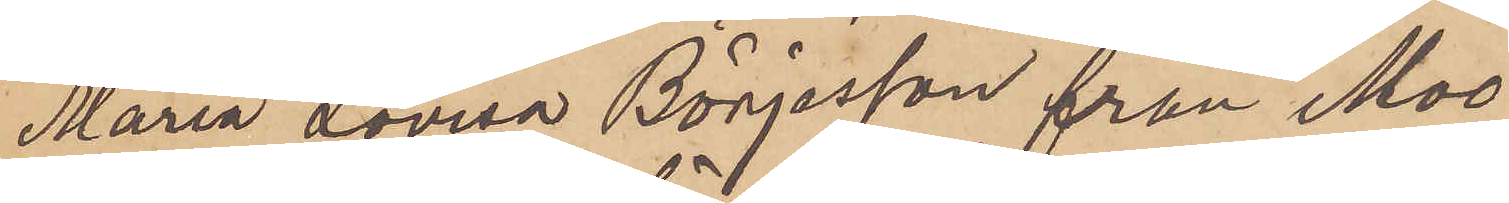Maria Lovisa Börjesson från Moo
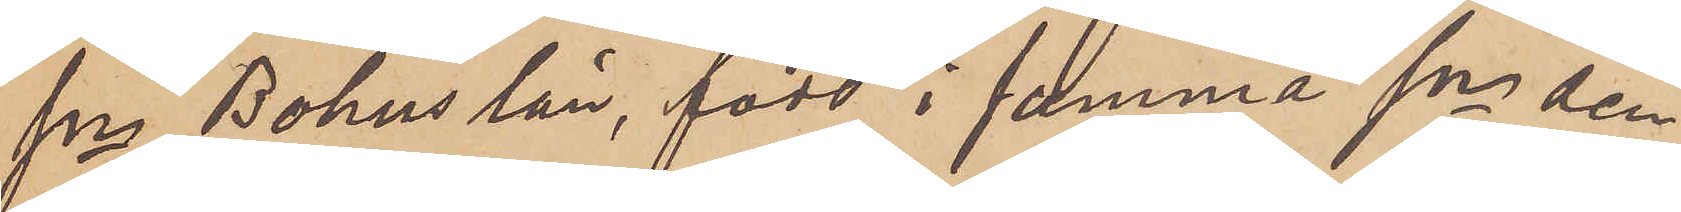sn Bohus län, född i samma sn den
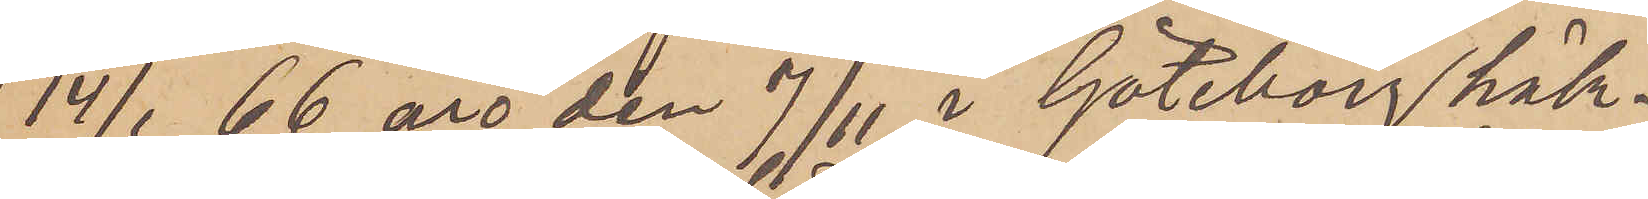14/1 66 äro den 7/11 i Göteborg häk¬
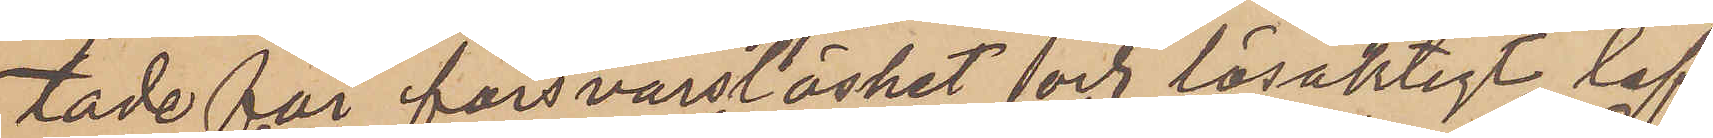tade för försvarslöshet och lösaktigt lef¬
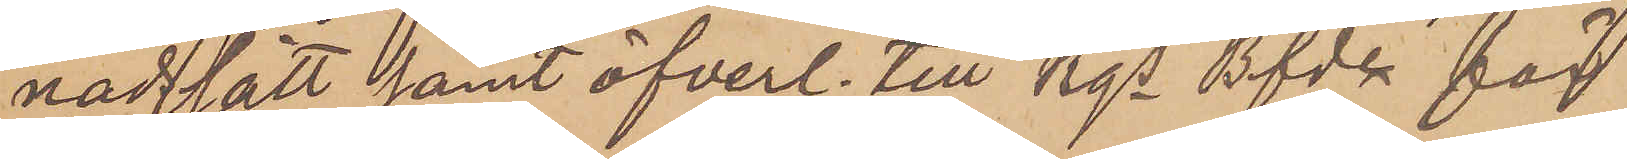nadsätt samt öfverl. till Kgs Bfde för
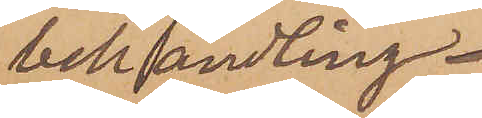behandling.
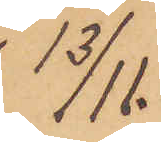13/11.
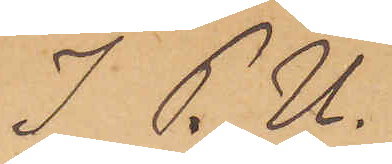I P. U.
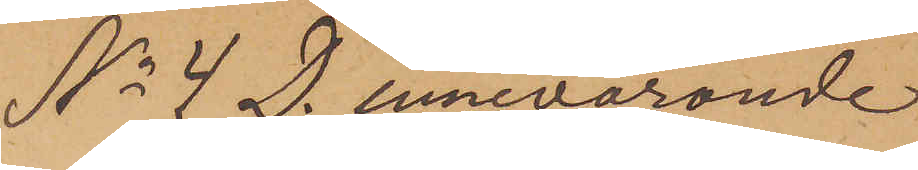No 4 D. innevarande
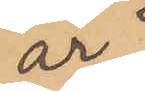år
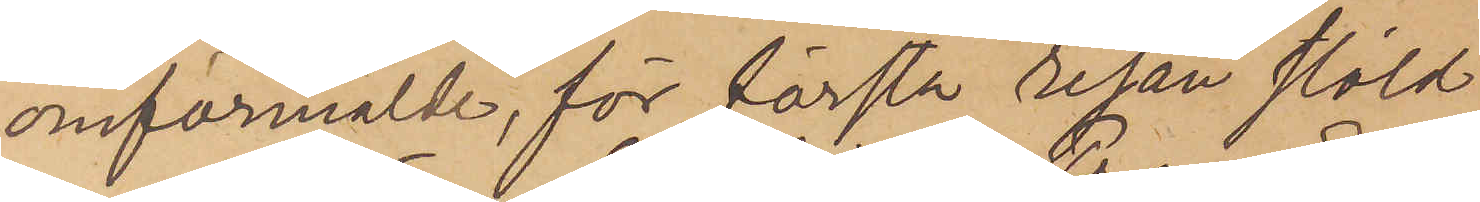omförmälde, för första resan stöld
